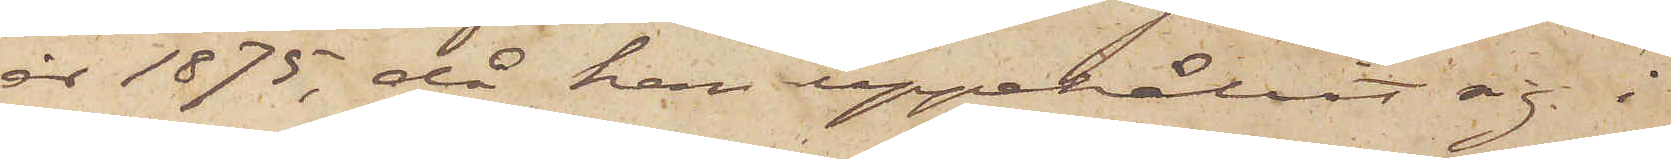år 1875, då han uppehållit sig i
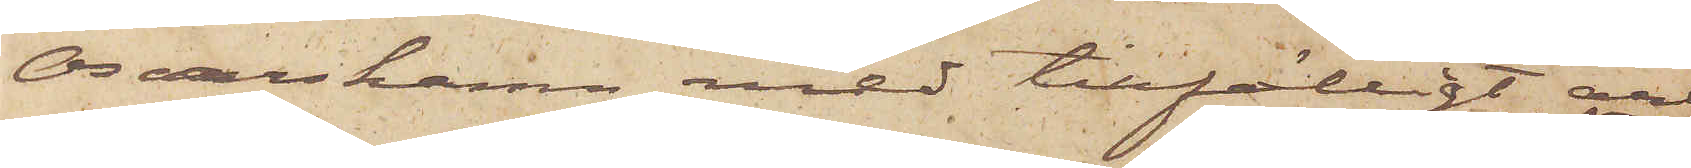Osalshamn med tillfälligt arbe¬
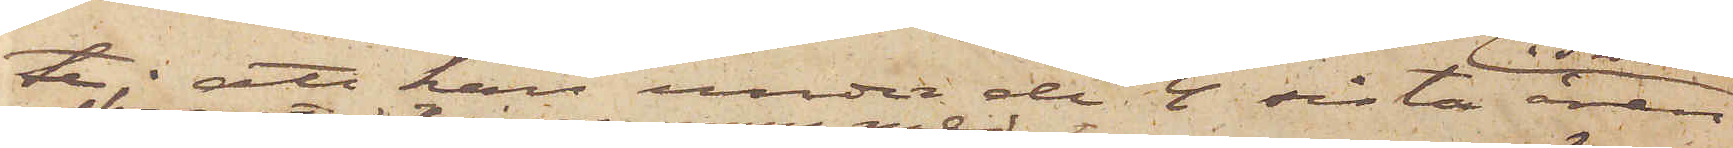te; att han under de 4 sista åren
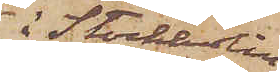i Stockholm
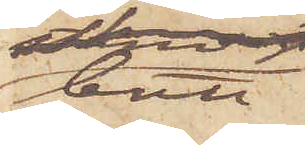bott
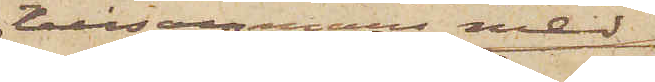tillsammans med
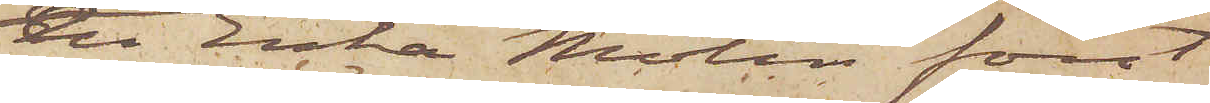en Enka Molin först
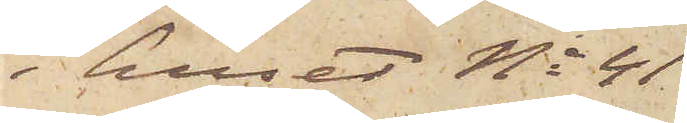i huset No 41
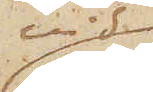vid
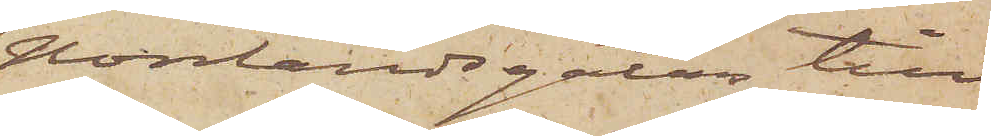Norrlandsgatan till
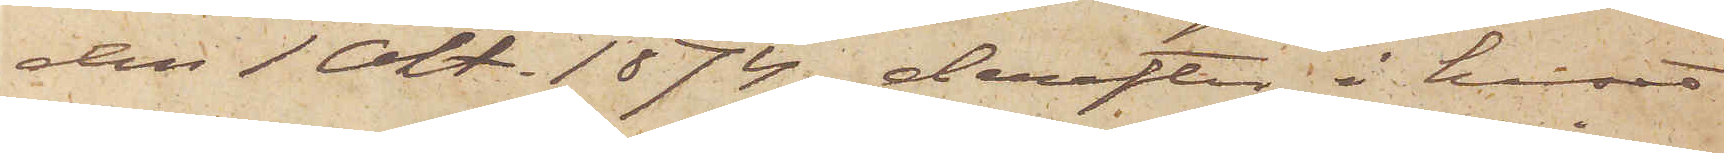den 1 Okt. 1874, derefter i huset
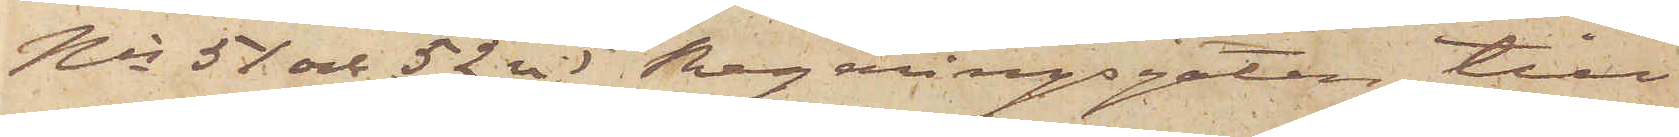Nis 51 och 52 vid Regeringsgatan till
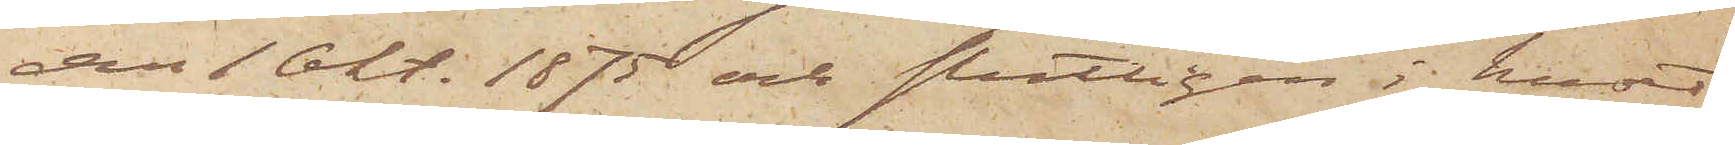den 1 Okt. 1875 och slutligen i huset
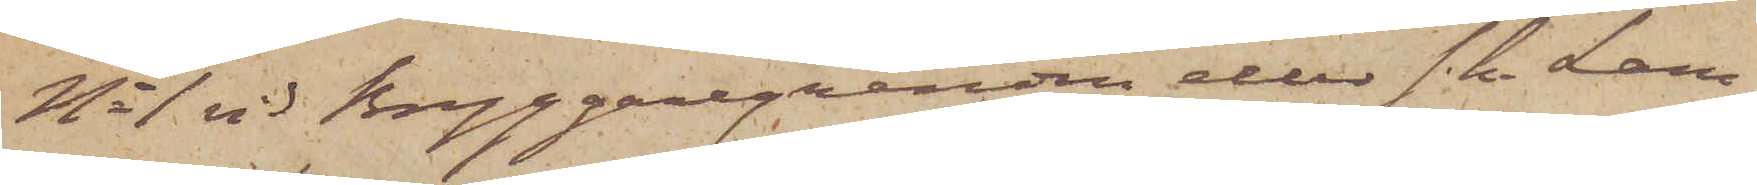No 1 vid Bryggaregränden eller s. k. Lars¬
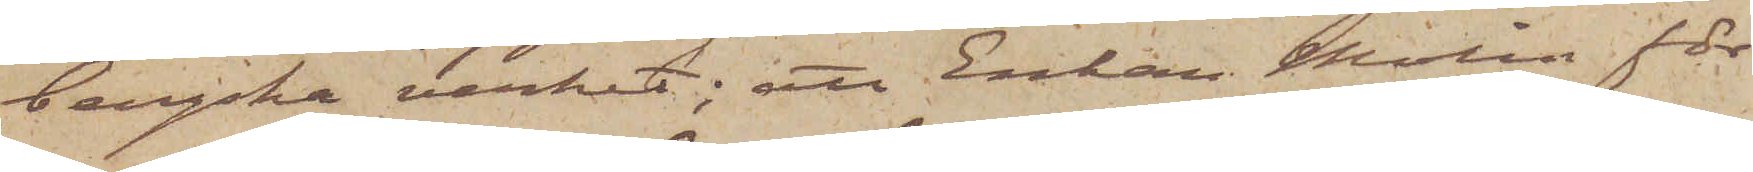bergska verket; att Enkan Molin för
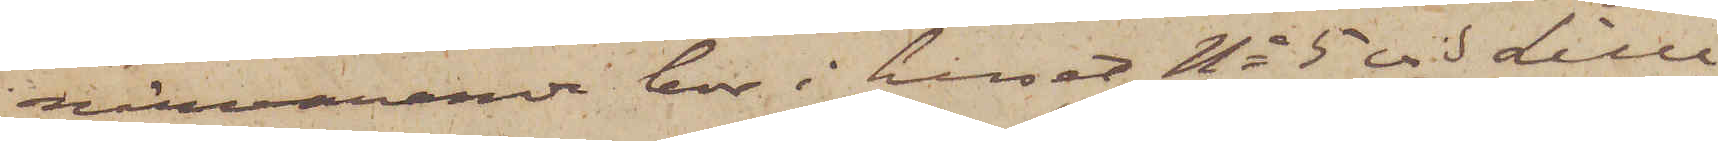närvarande bor i huset No 5 vid Lille
